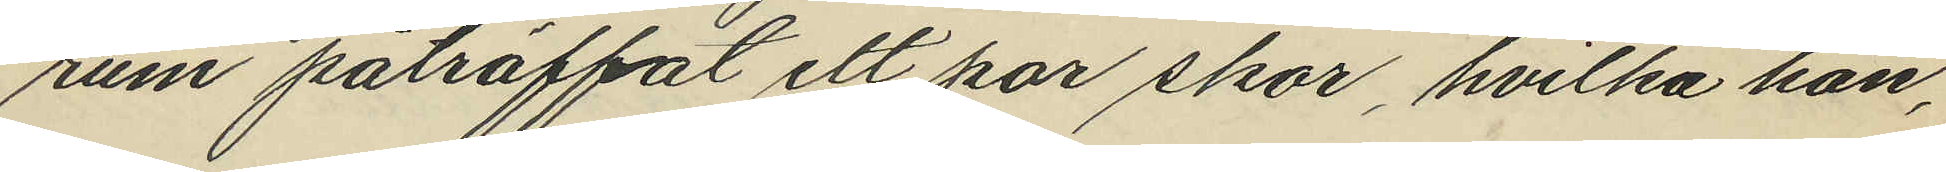rum påträffat ett par skor, hvilka han,
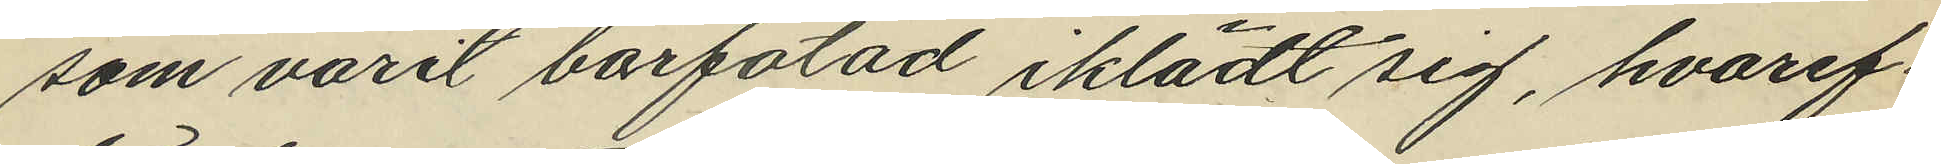som varit barfotad iklädt sig, hvaref¬
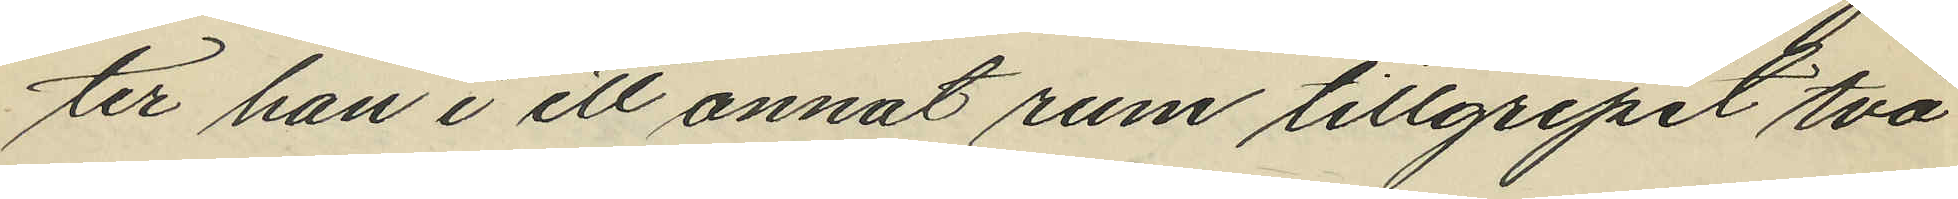ter han i ett annat rum tillgripit två
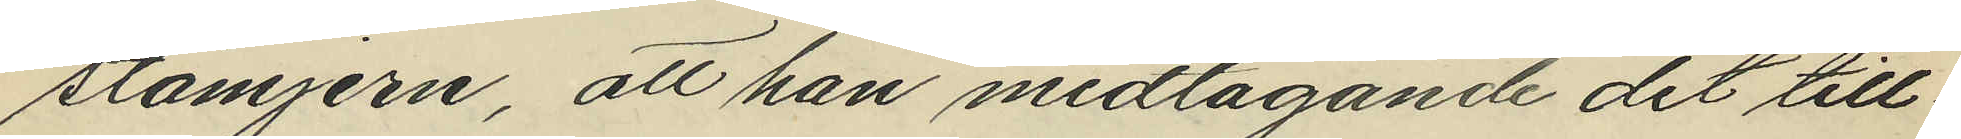stämjern, att han medtagande det till¬
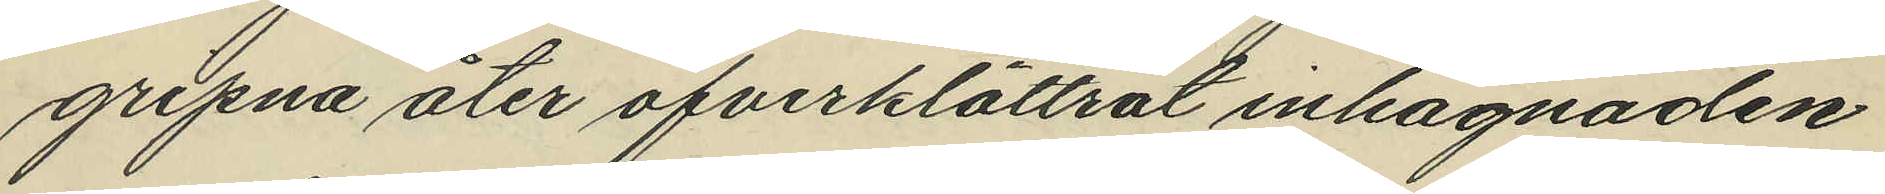gripna åter öfverklättrat inhägnaden
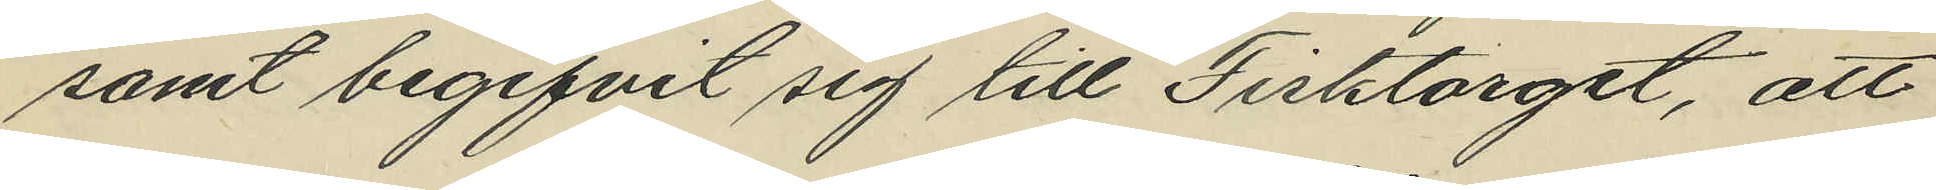samt begifvit sig till Fisktorget, att
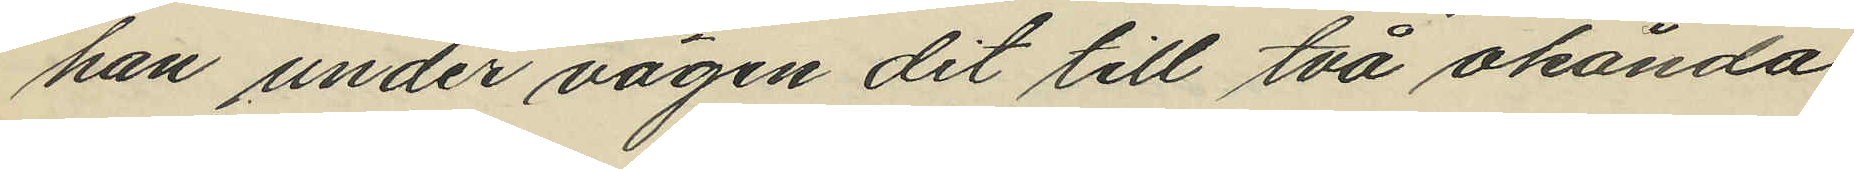han under vägen dit till två okända
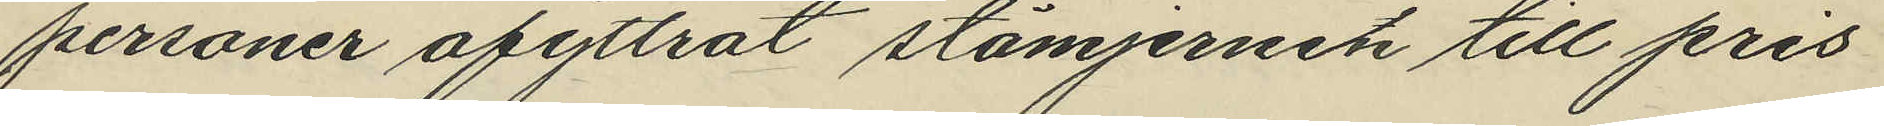personer afyttrat stämjernet till pris
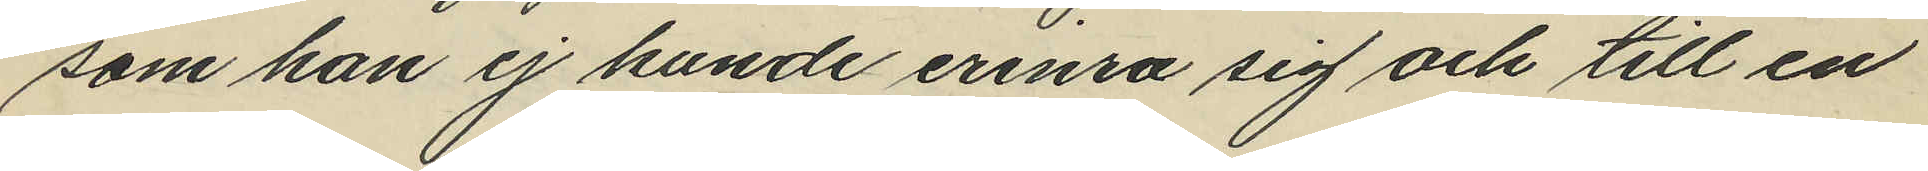som han ej kunde erinra sig och till en
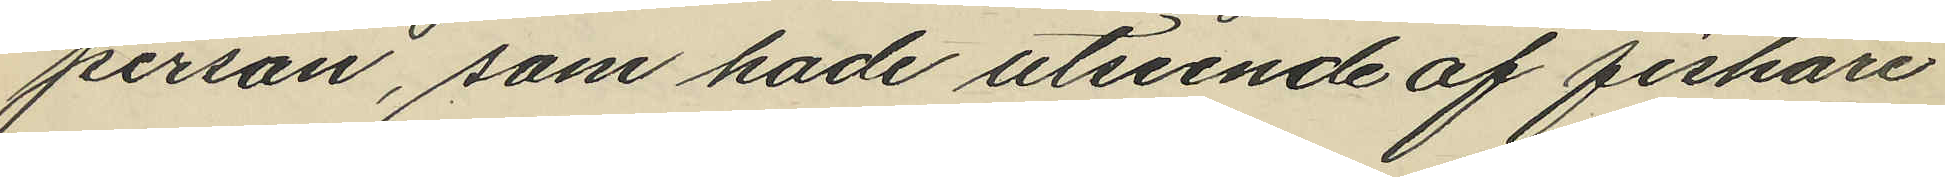person, som hade utseende af fiskare
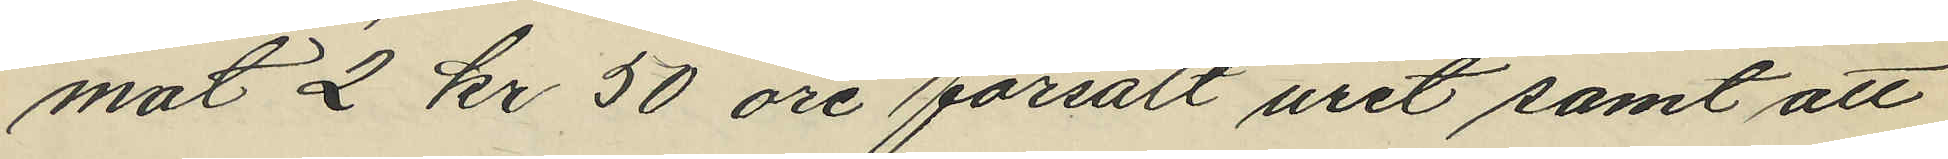mot 2 kr 50 öre försålt uret samt att
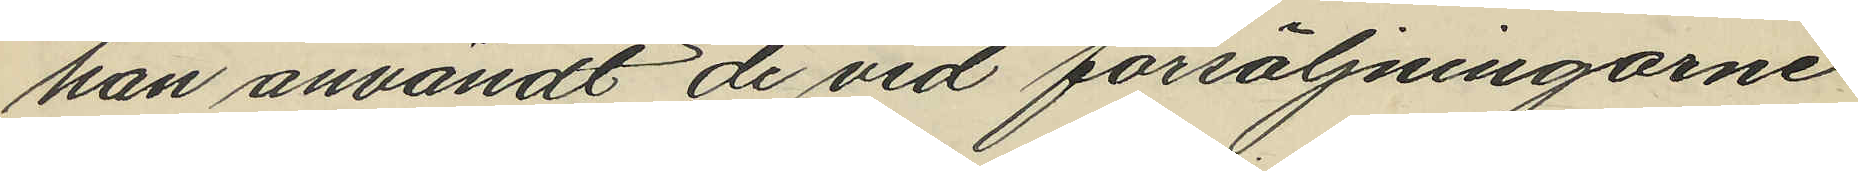han användt de vid försäljningarne
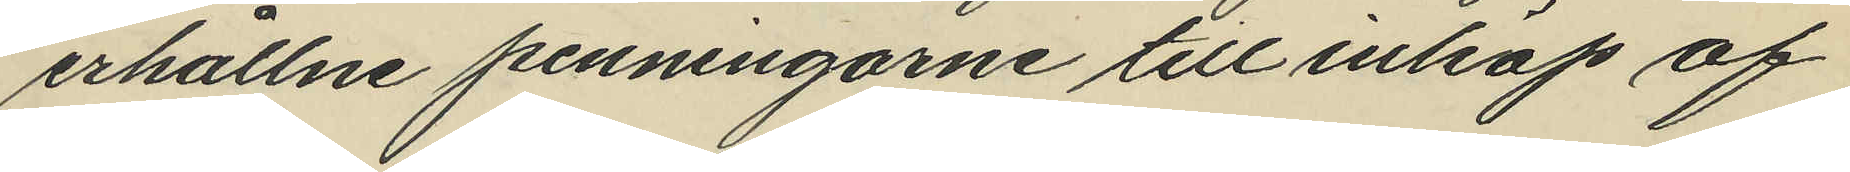erhållne penningarne till inköp af
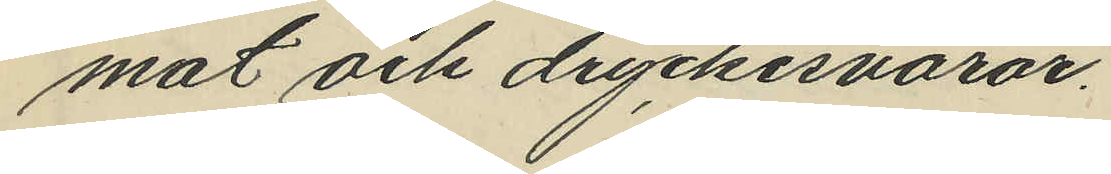mat och dryckesvaror.
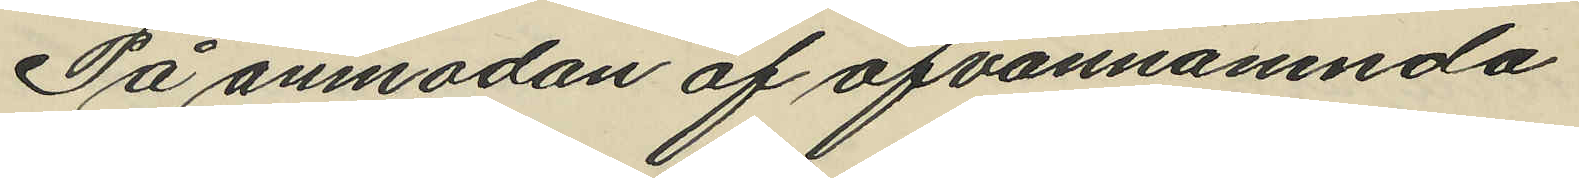På anmodan af ofvannämnda
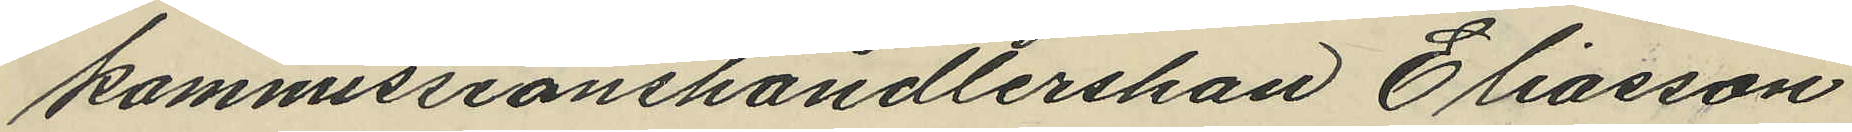kommissionshandlerskan Eliasson
